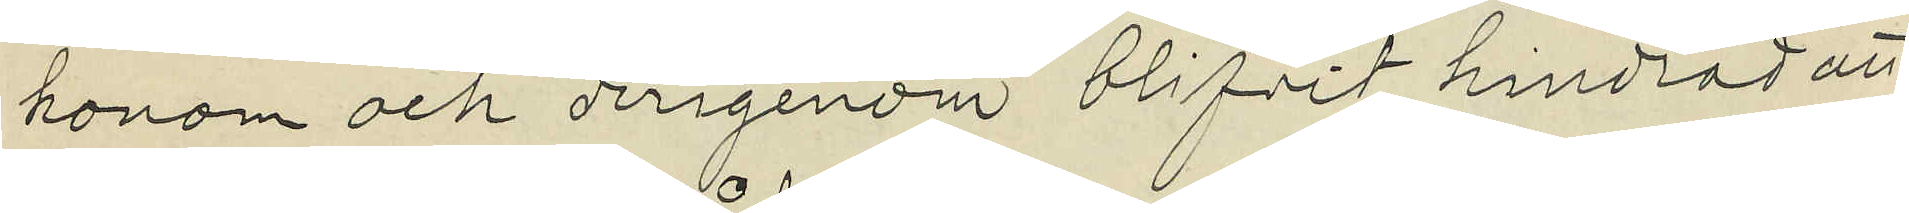honom och derigenom blifvit hindrad att
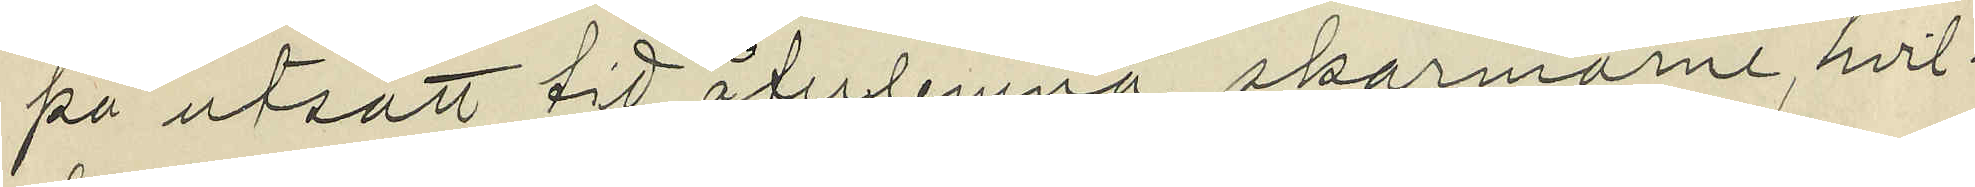på utsatt vid återlemna skarmarne, hvil¬
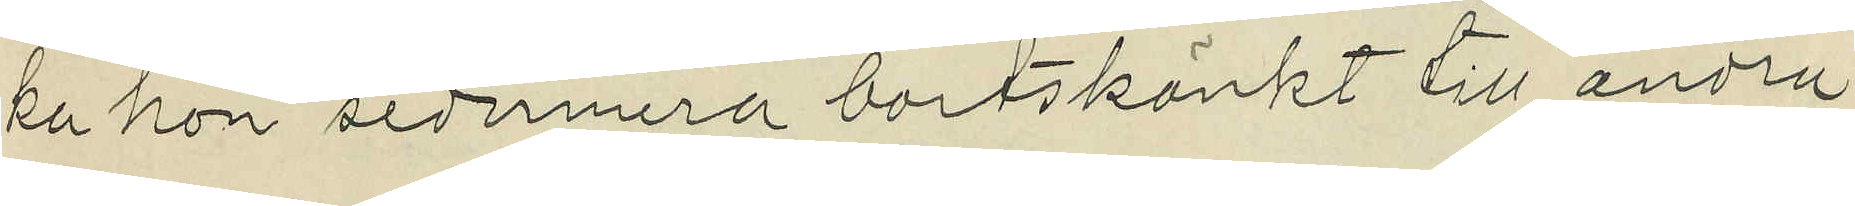ta hon sedermera bortskänkt till andra
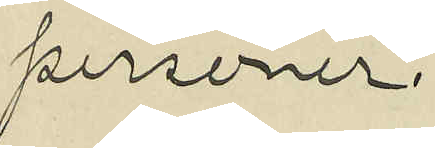personer.
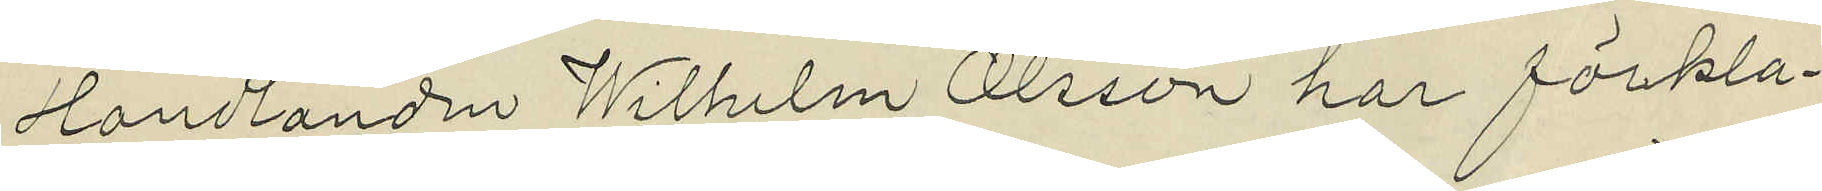Handlanden Wilhelm Olsson har förkla¬
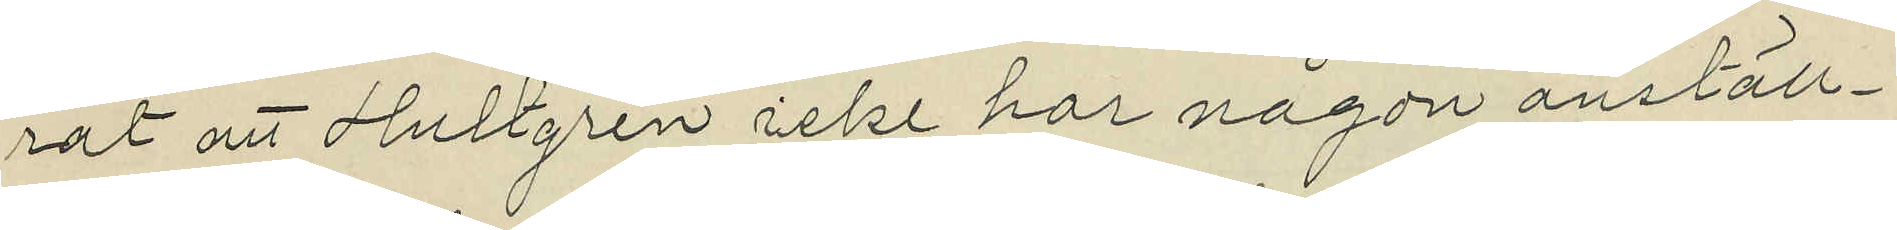rat att Hultgren icke har någon anställ¬
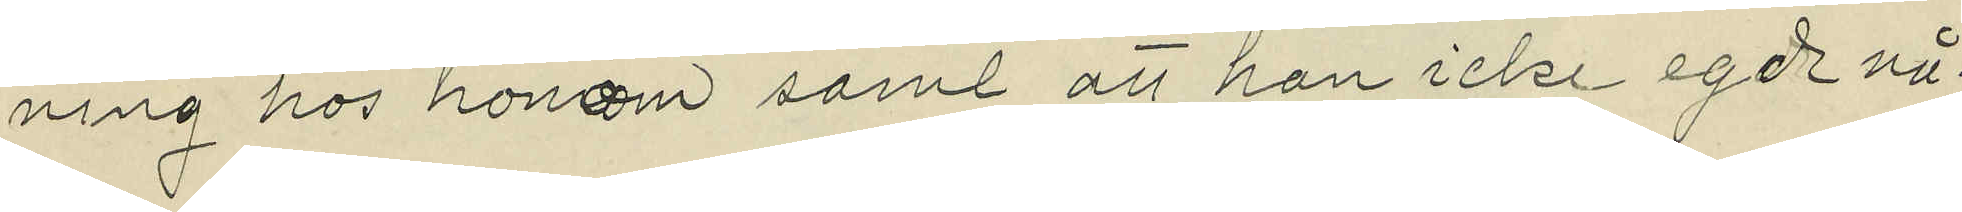ning hos honom samt at han icke egde nå¬
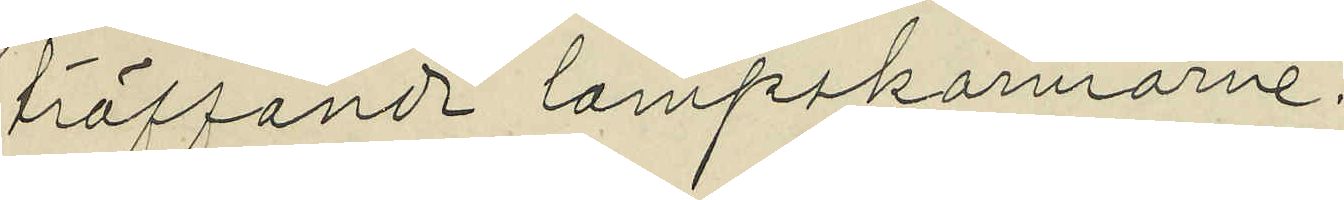träffande larmpskarmarne.
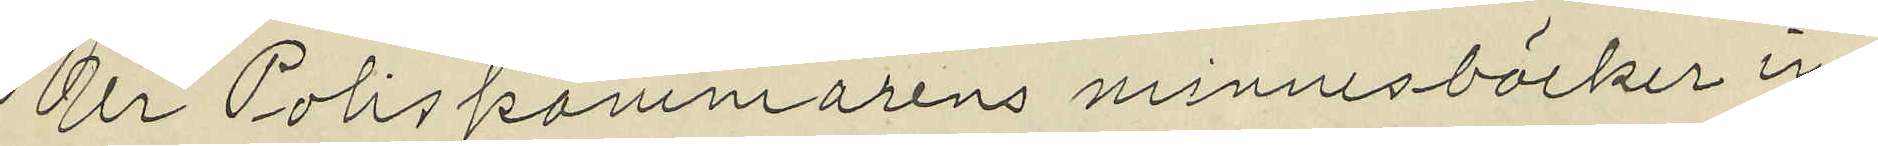Ur Poliskammarens minnesböcker in¬
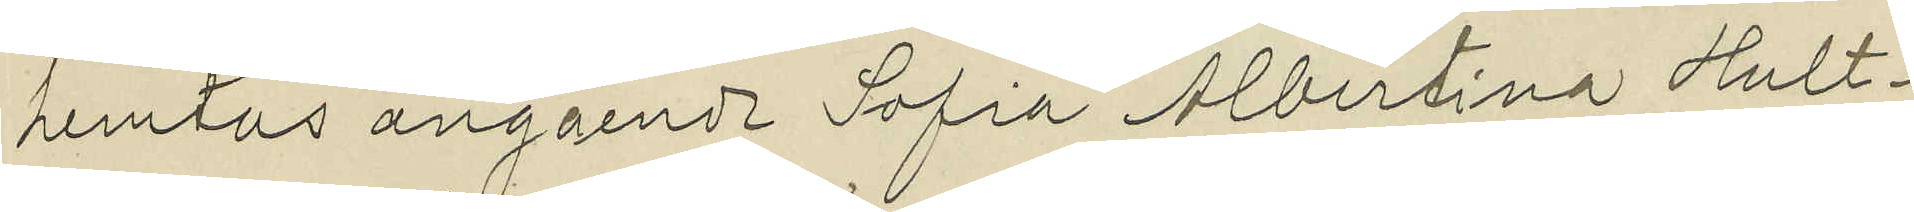hemtas angående Sofia Albertina Hult¬
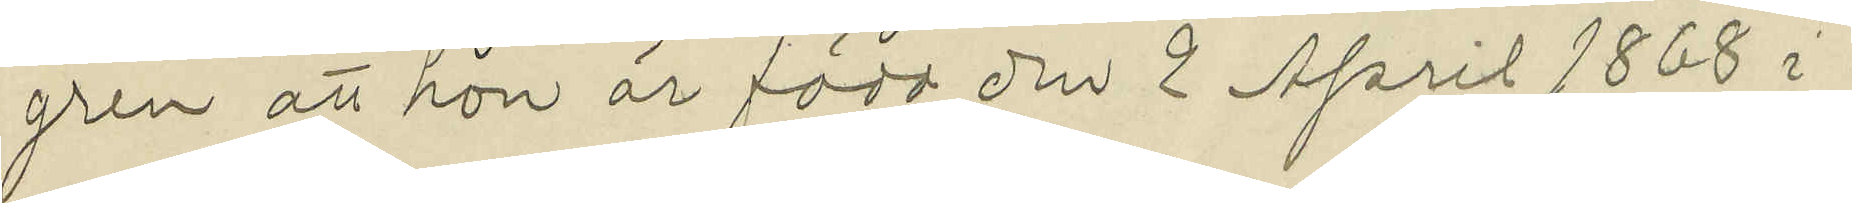gren att hon är född den 2 April 1868 i
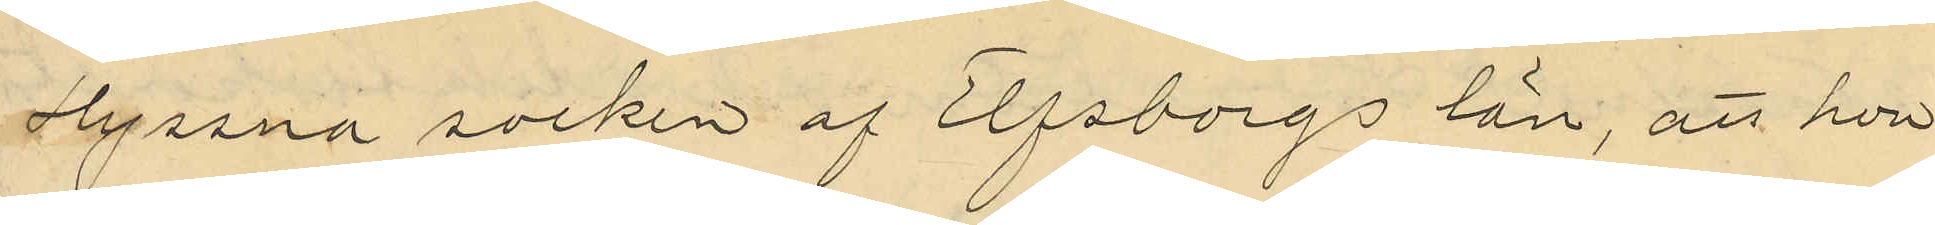Hyssna socken af Elfsborgs län, att hon
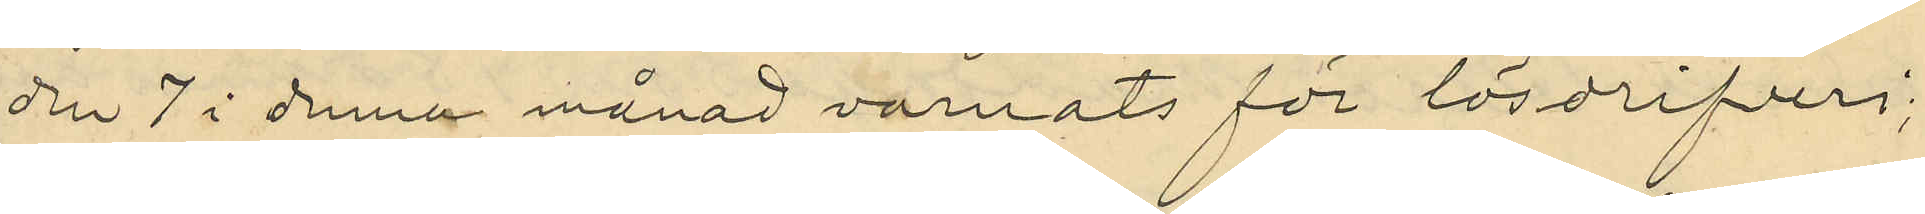den 7 i denna månad varnats för lösdrifveri;
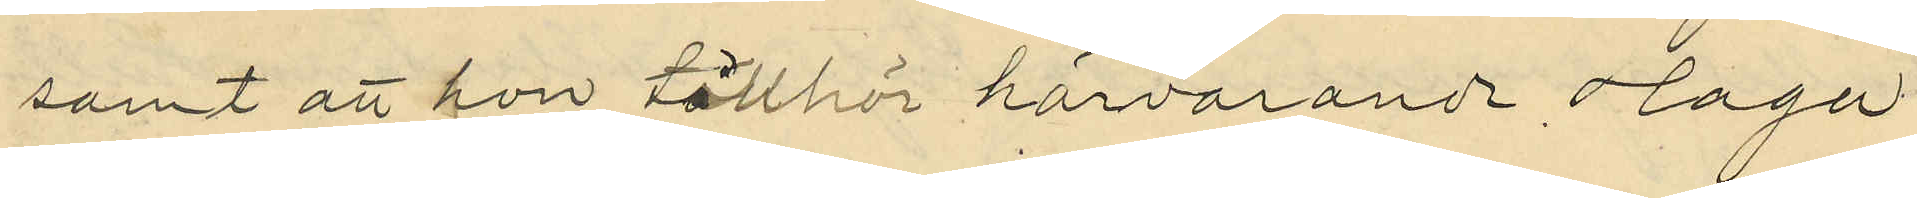samt att hon tillhör härvarande Haga
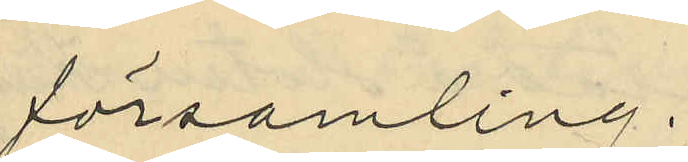församling.
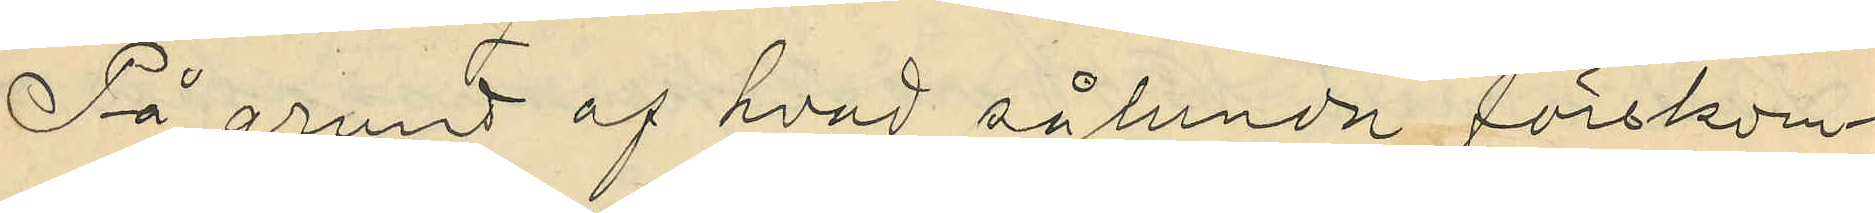På grund af hvad sålunda förekom¬
